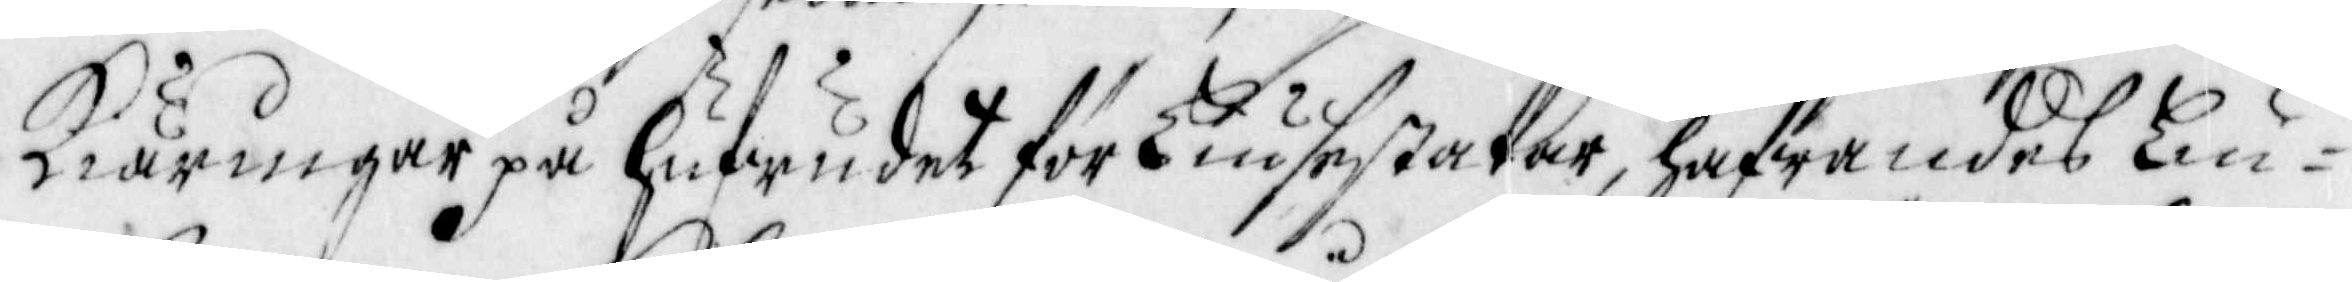Kiäringar på hufwudet för Liusestakar, hafwandes Liu¬
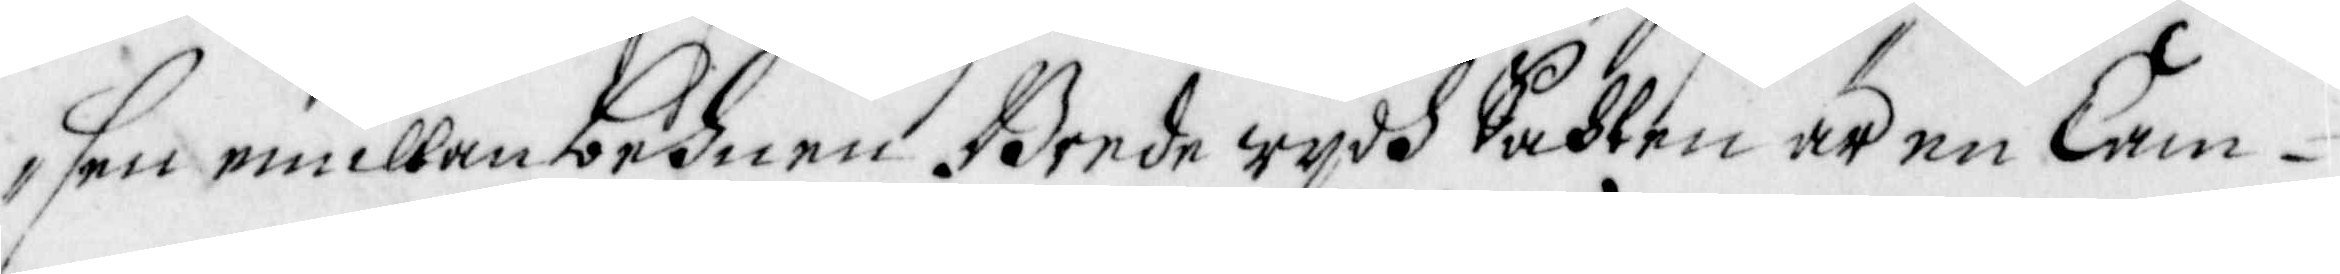sen emellan behnen Brede wydh Sahlen är en Cam¬
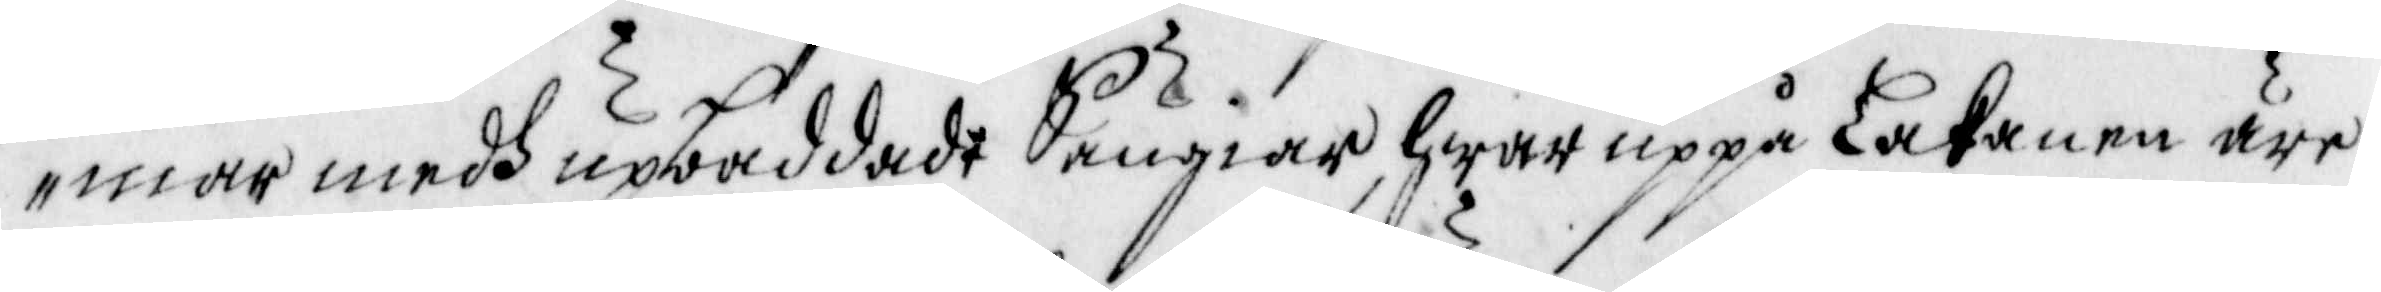mar medh upbäddade Sängiar, hwar uppå Lakanen äre
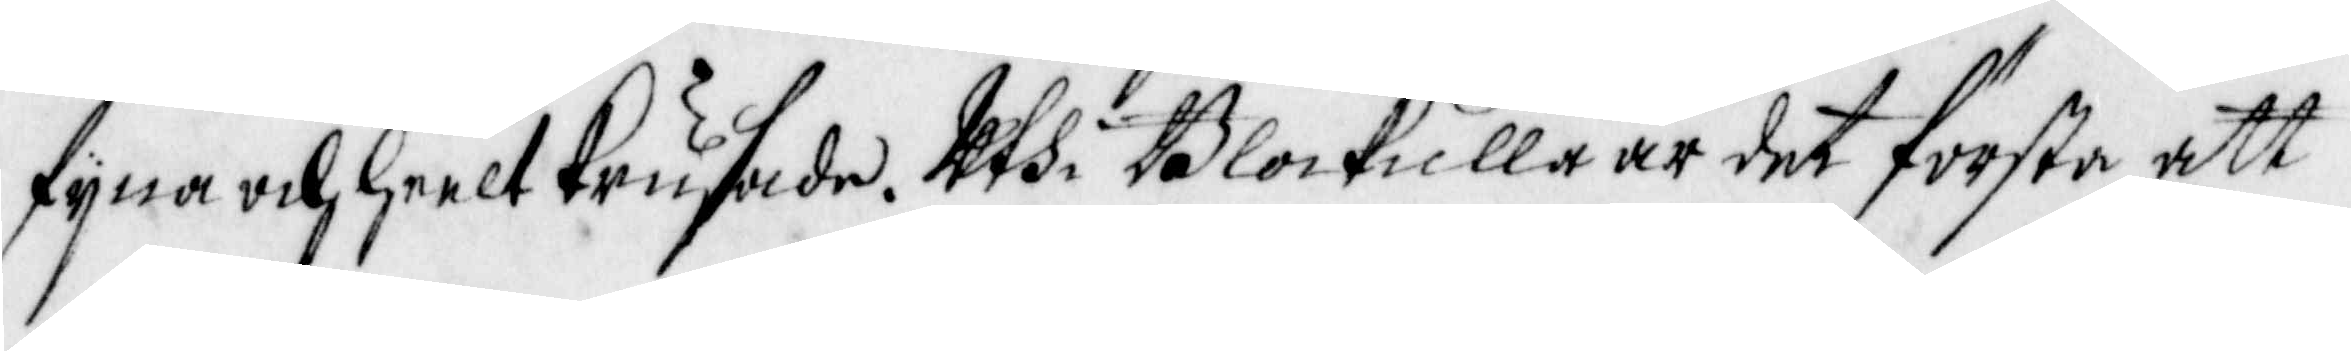fyna och heelt Krusade. Uthi Blockulla är det första att
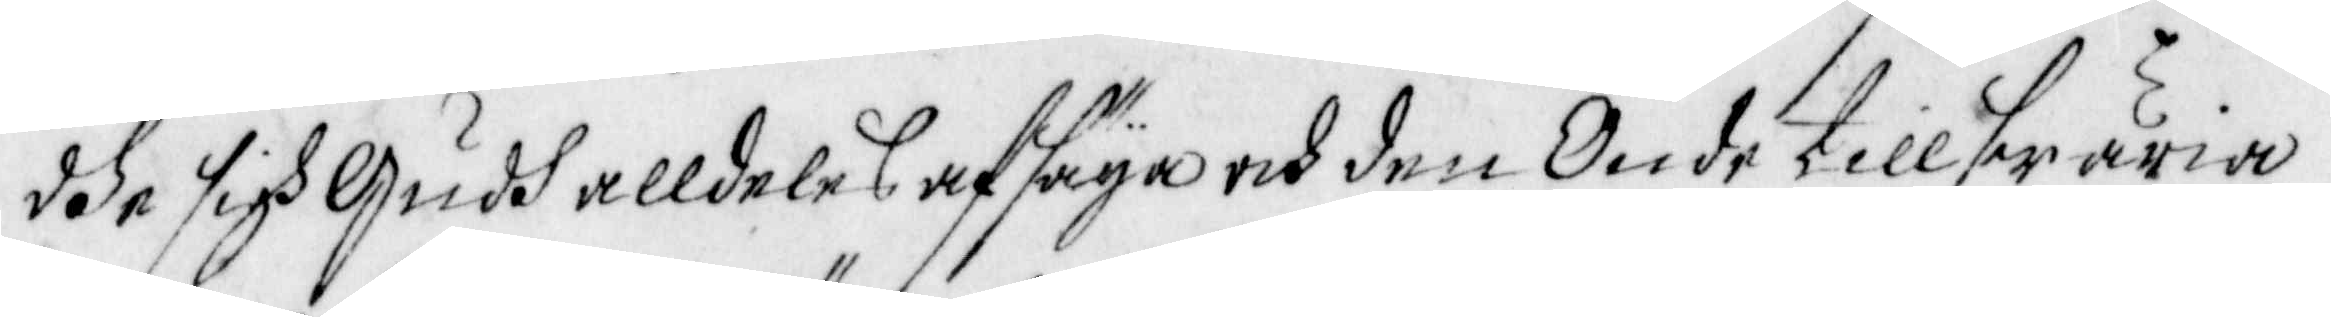dhe sigh Gudh alldeles afsäya och den Onde tillswäria
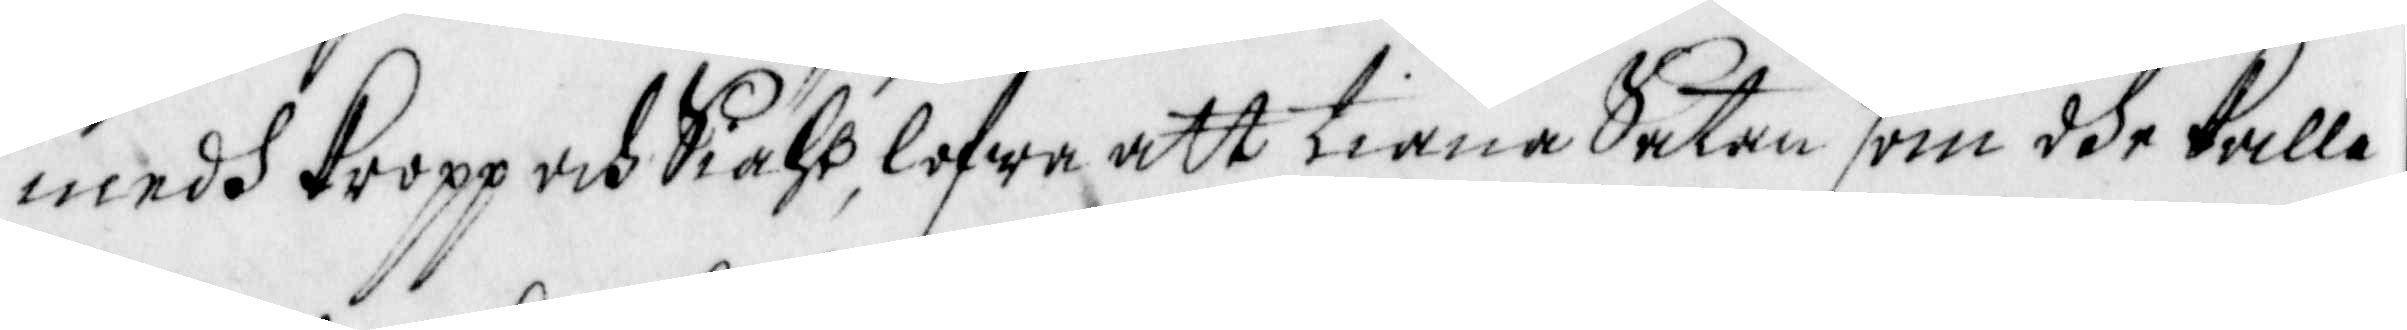medh Kropp och Siähl, lofwe att tiäna Satan som dhe kulla
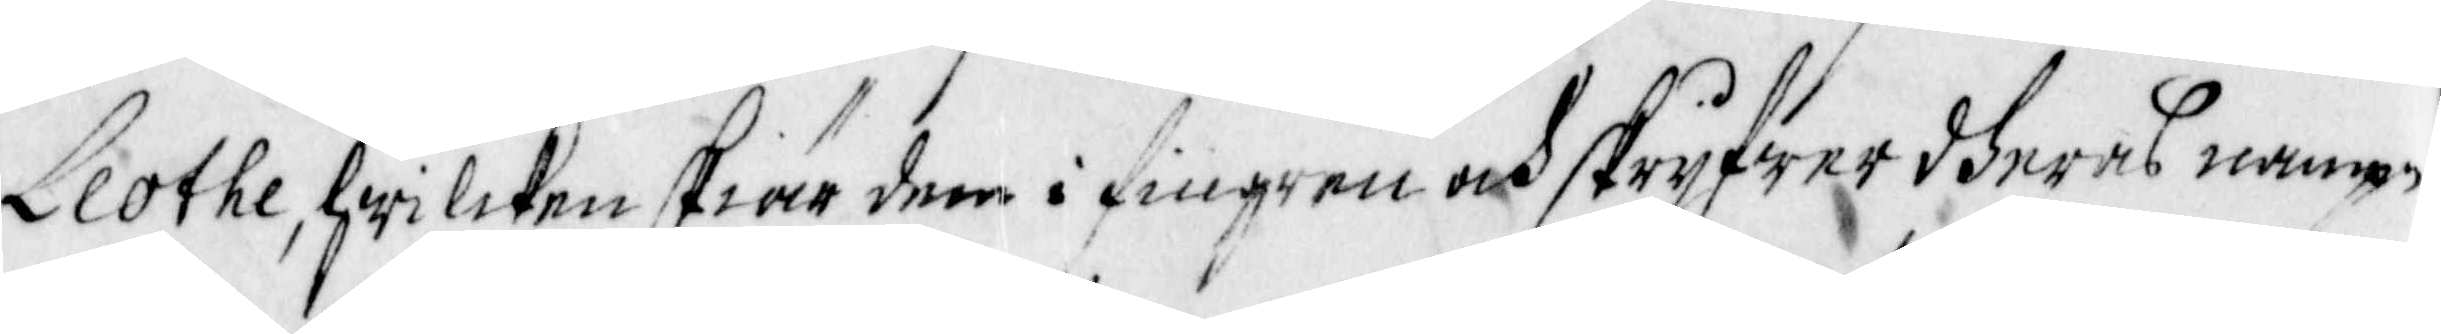Llothe, hwilcken skiär dem i fingren och skryfwer dheras nampn
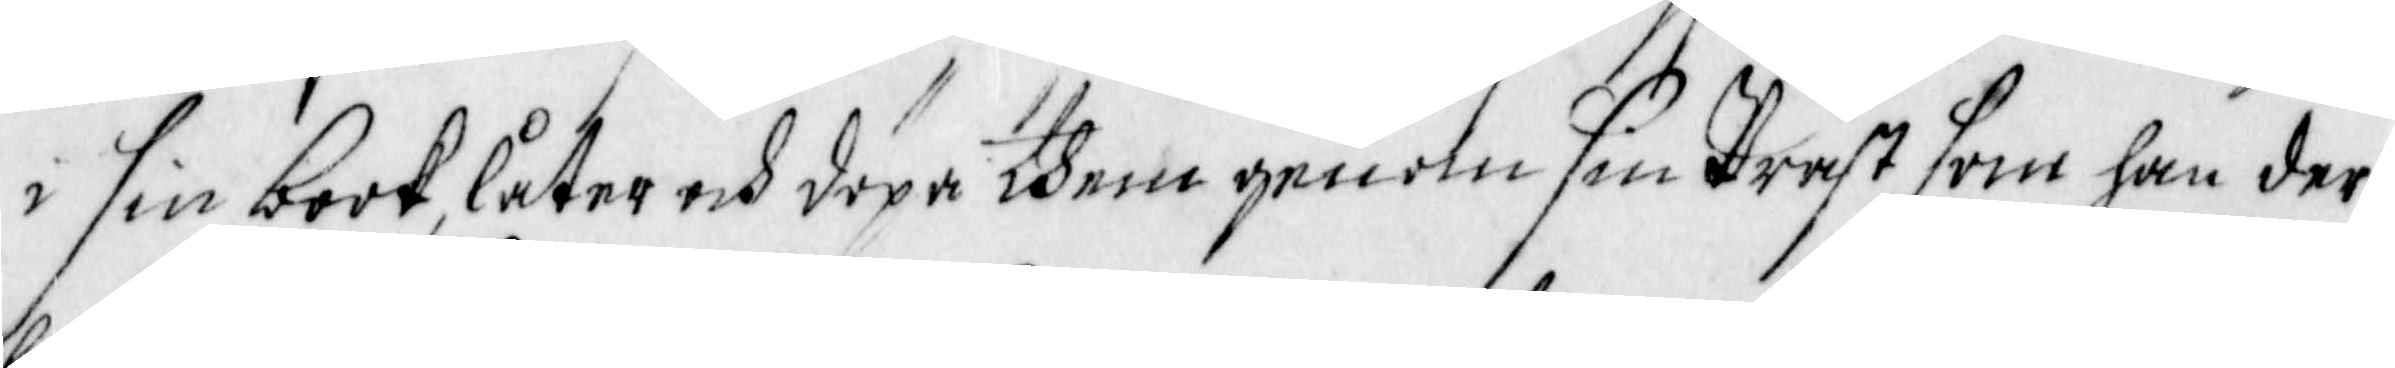i sin book, låter och döpa dhem genom sinpräst som han der
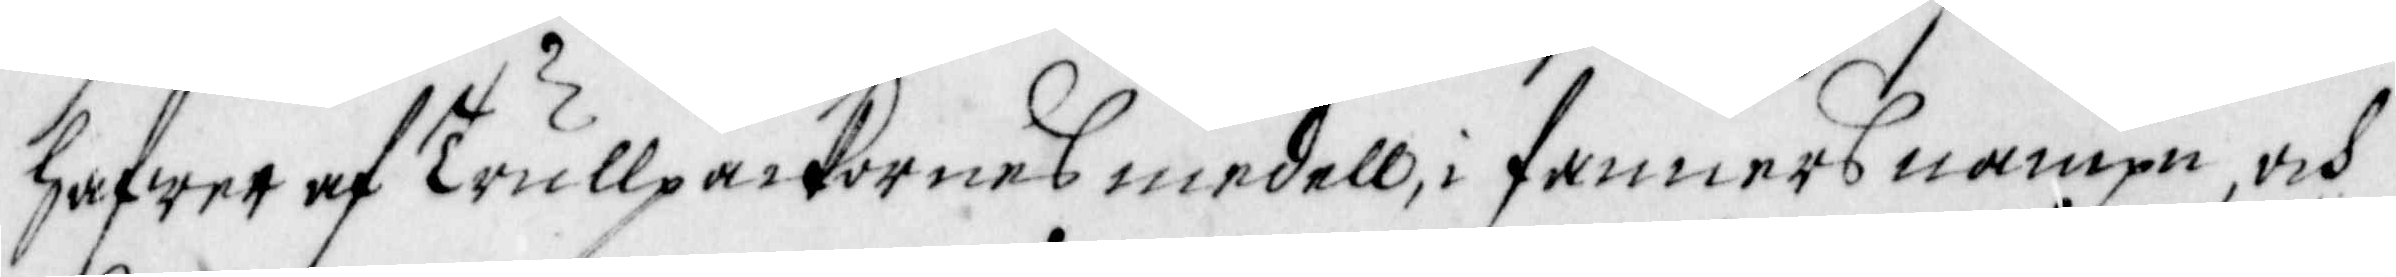hafwer af Trullpackornes medell, i Fanners nampn, och
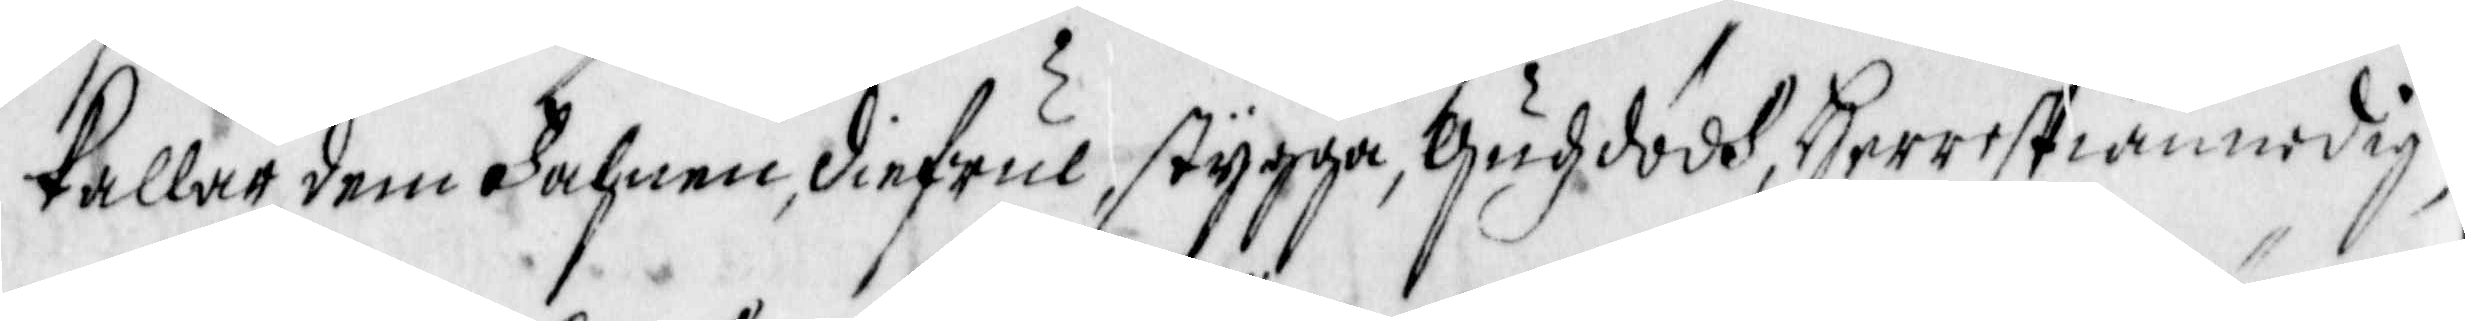kallar dem Fahnen, diefwul, stygga, Gudz dödh, Herre stiännodig
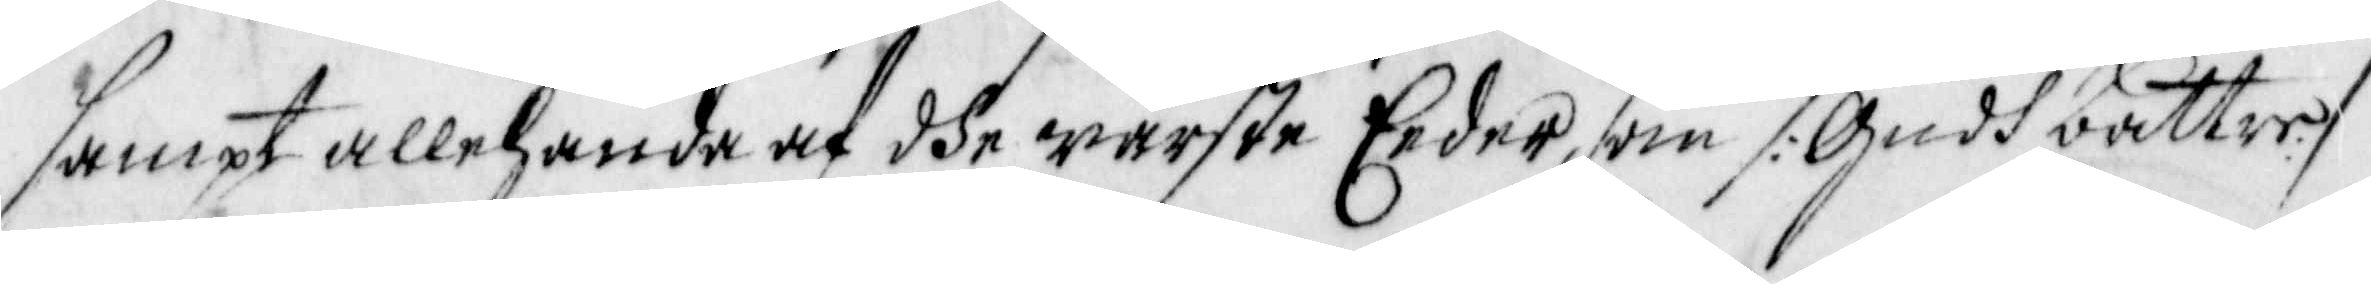sampt allehanda af dhe wärste Eeder, som /: Gudh bättre :/
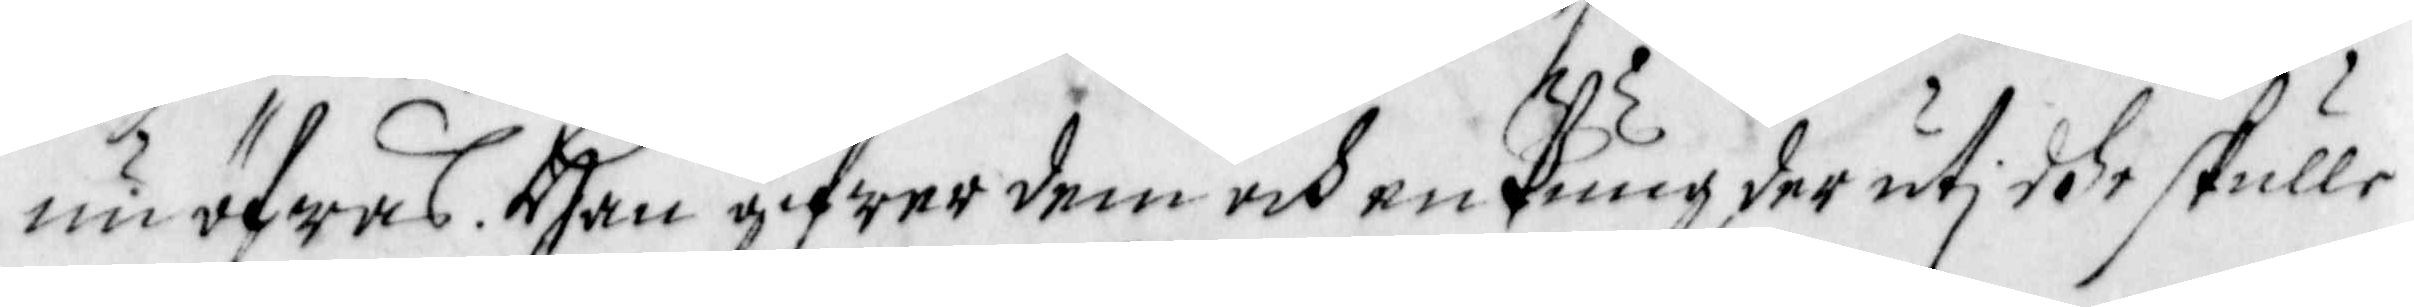nu öfwas. Han gifwer dem och en Pung, der uti dhe skulle
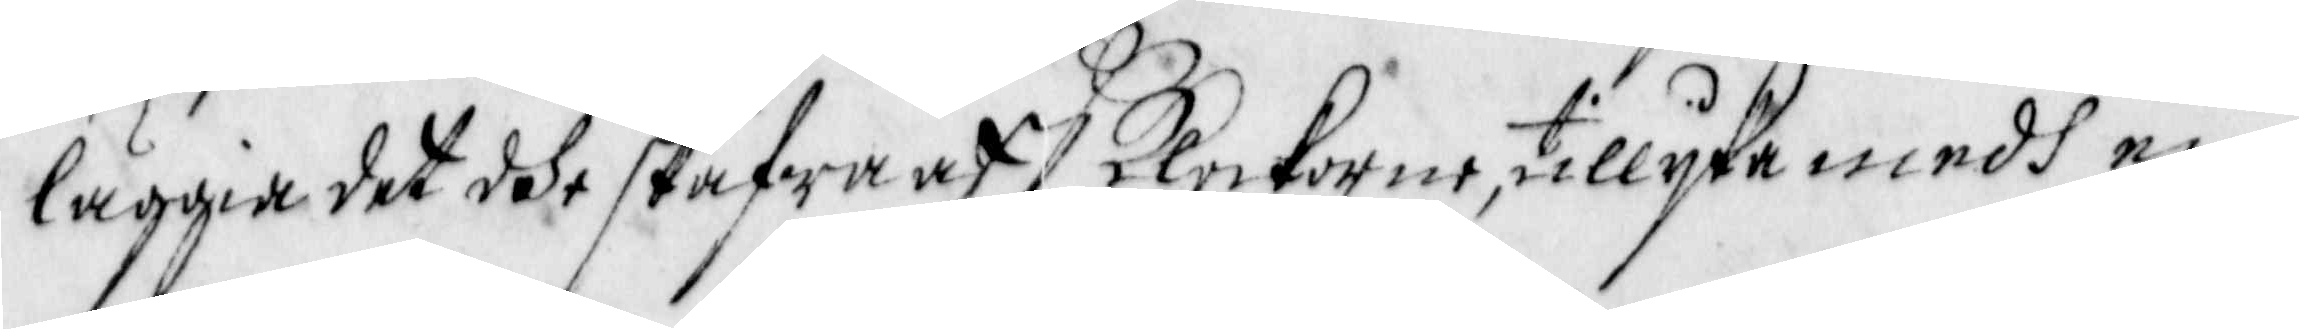läggia det dhe skafwa aff Klockorne, tillyka medh en
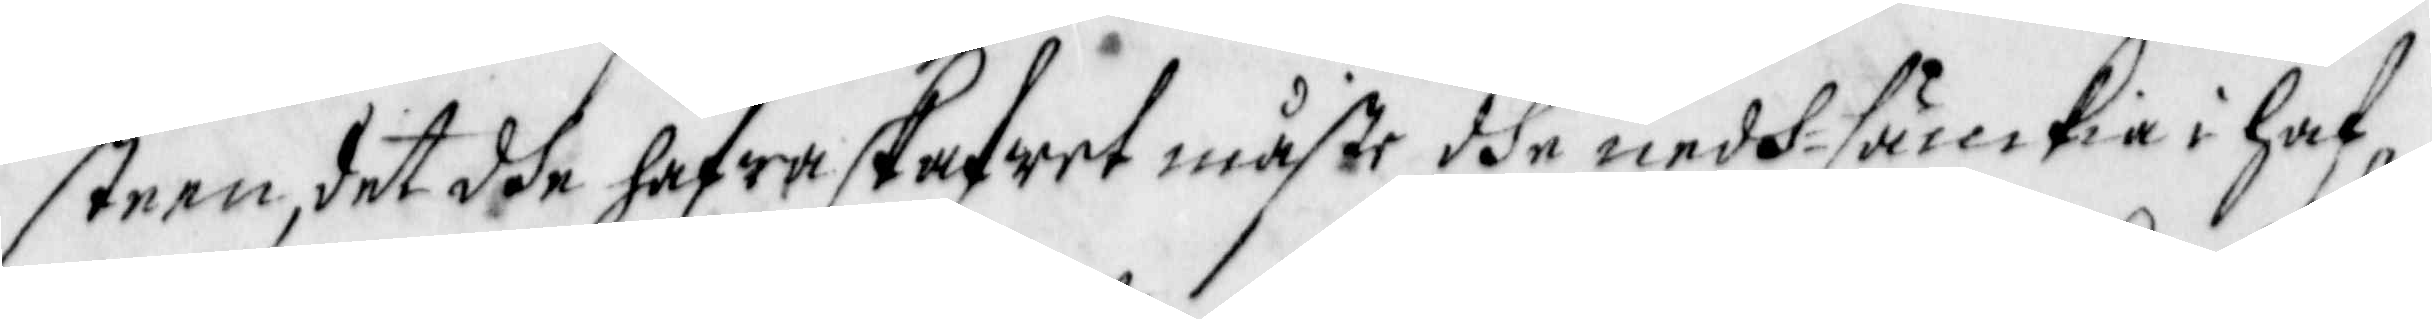steen, det dhe hafwa skafwet måste dhe nedh sänckia i haf¬
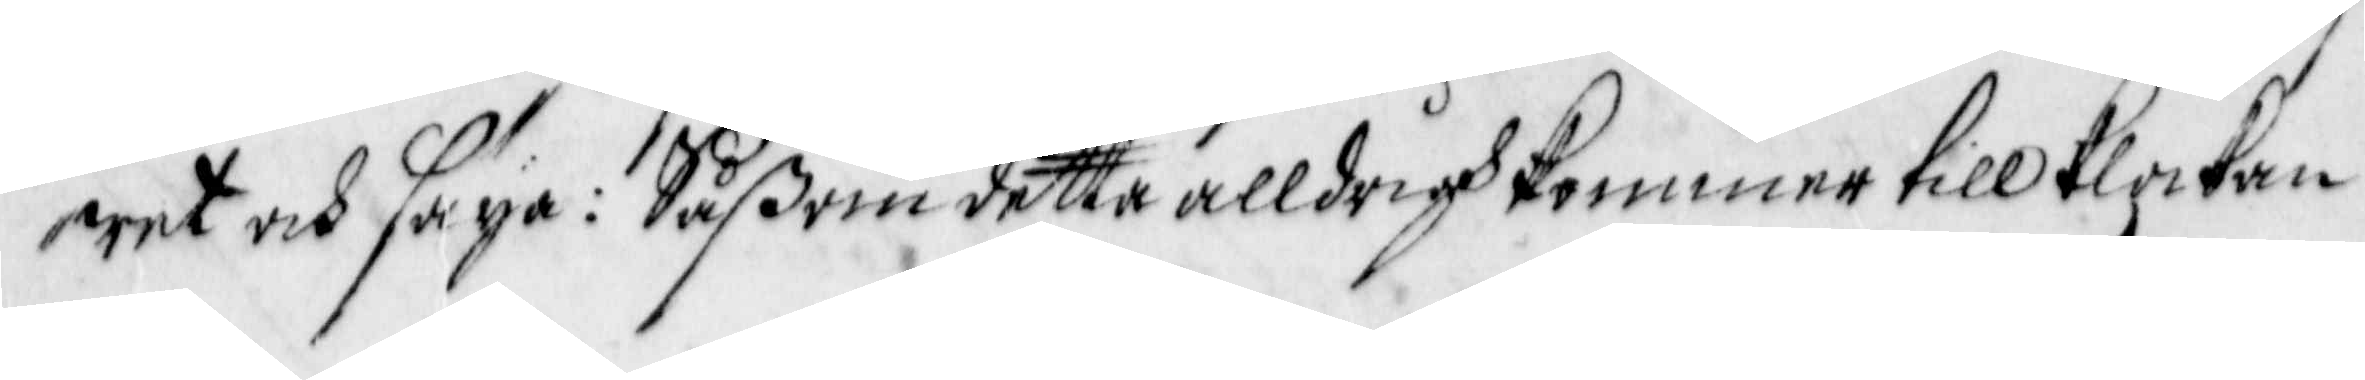wet och säya: Såßom detta alldrigh kommer till Klockan
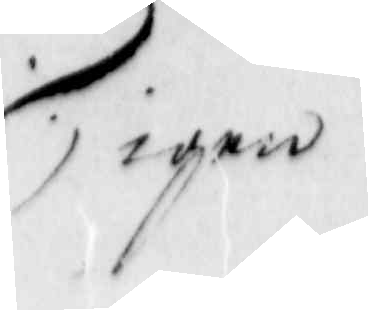igen
